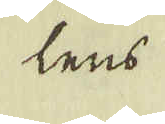lens
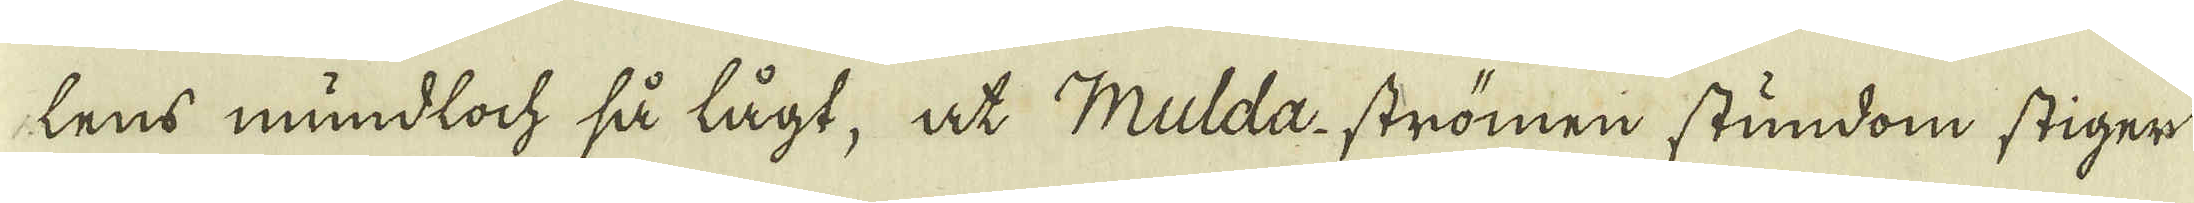lens mundloch så lägt, at Mulda-strömen stundom stiger
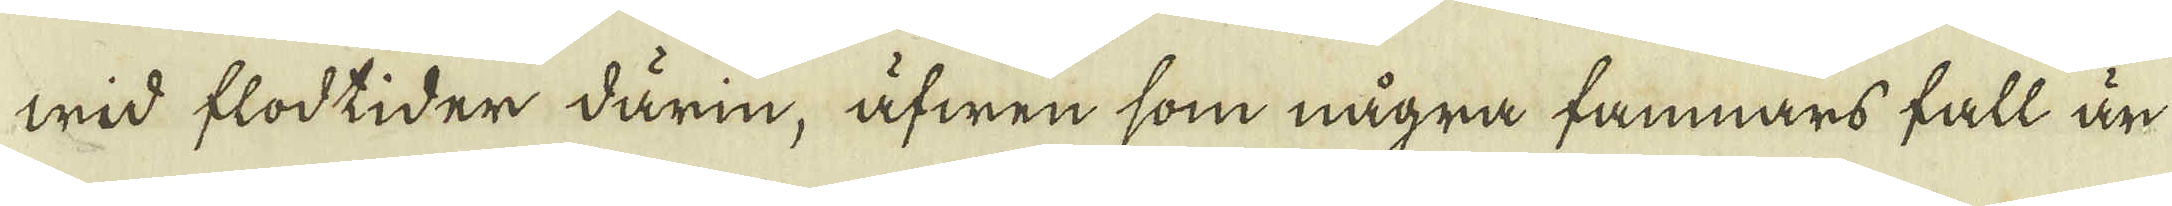wid flodtider därin, äfwen som några famnars fall än
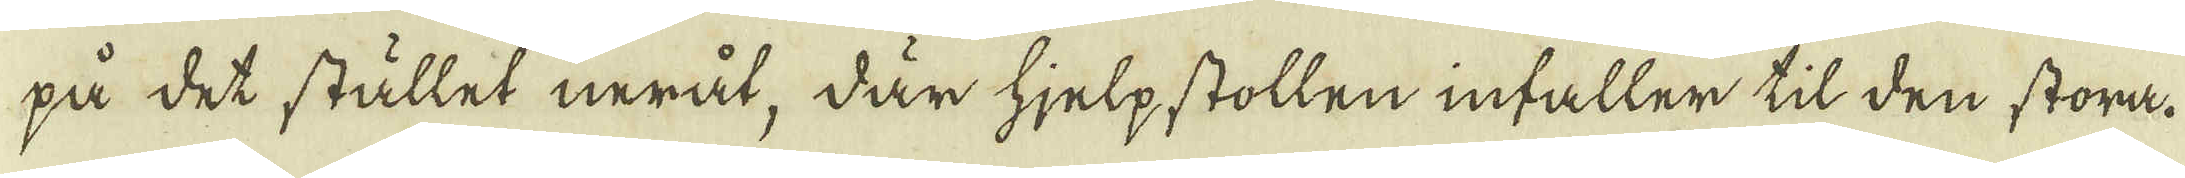på det stället neråt, där hjelpstollen infaller til den stora.
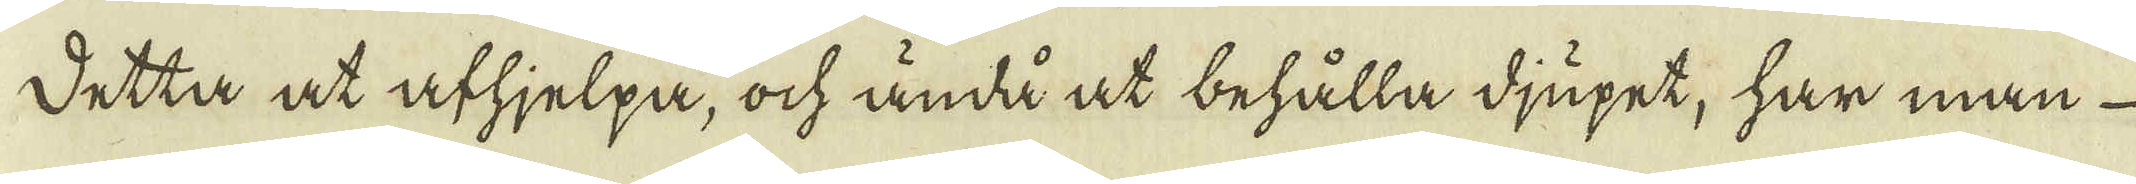detta at afhjelpa, ock ändå at behålla djupet, har man
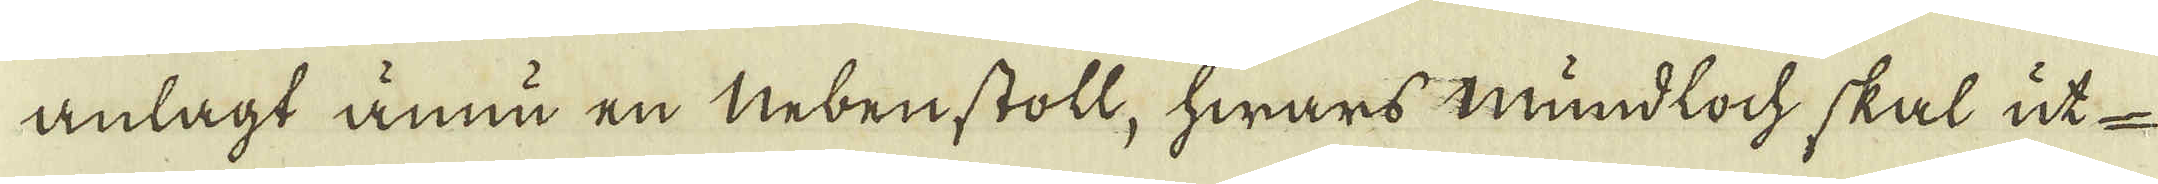anlagt ännu en nebenstoll, hwars mundloch, skal ut-
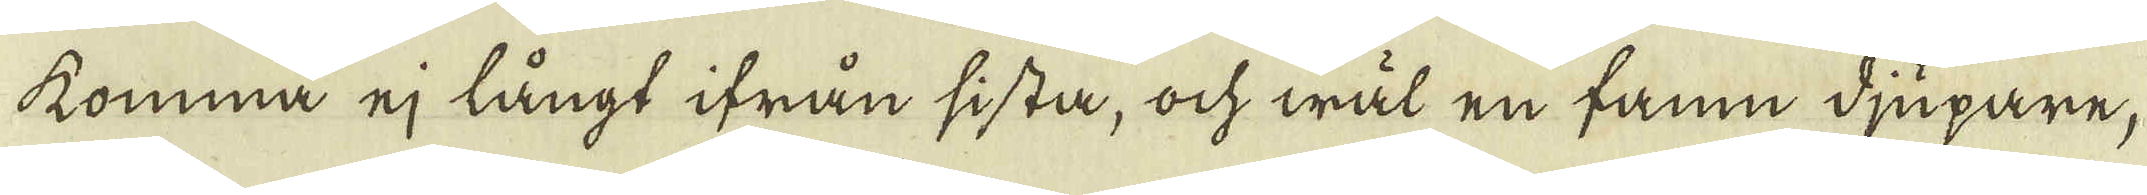komma ej långt ifrån sista, ock wäl en famn djupare,
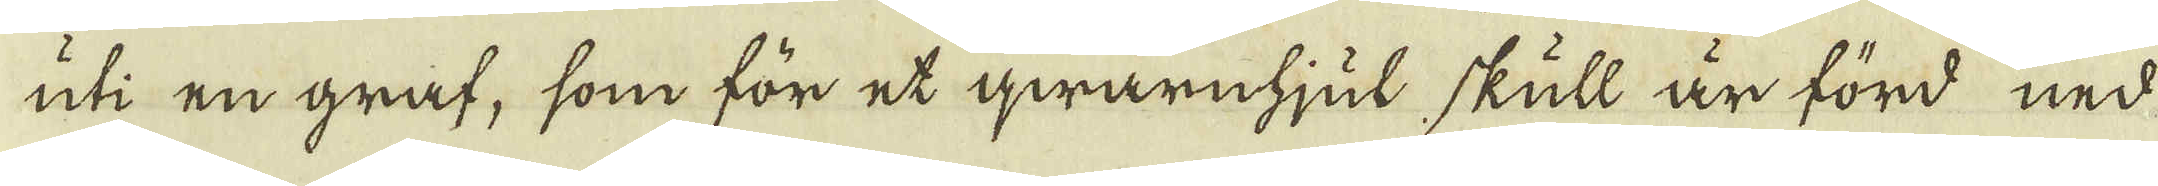uti en gråf, som för et qwarnhjul skull är förd ned
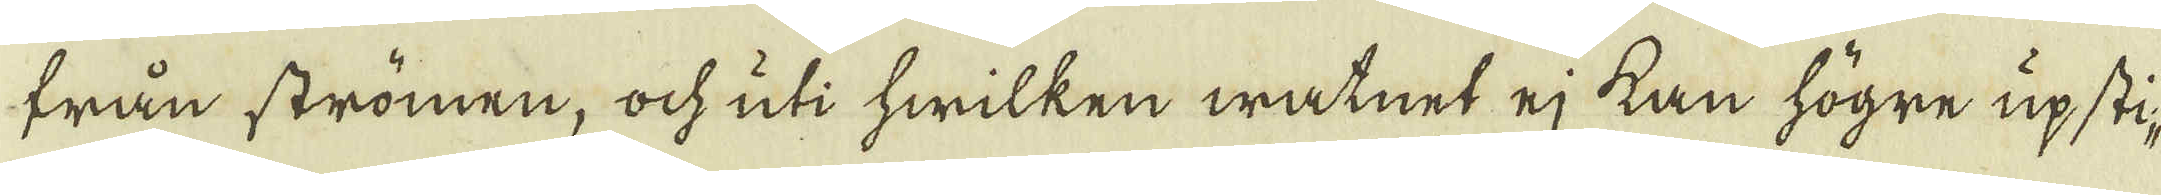från strömen, ock uti hwilken watnet ej kan högre upsti-
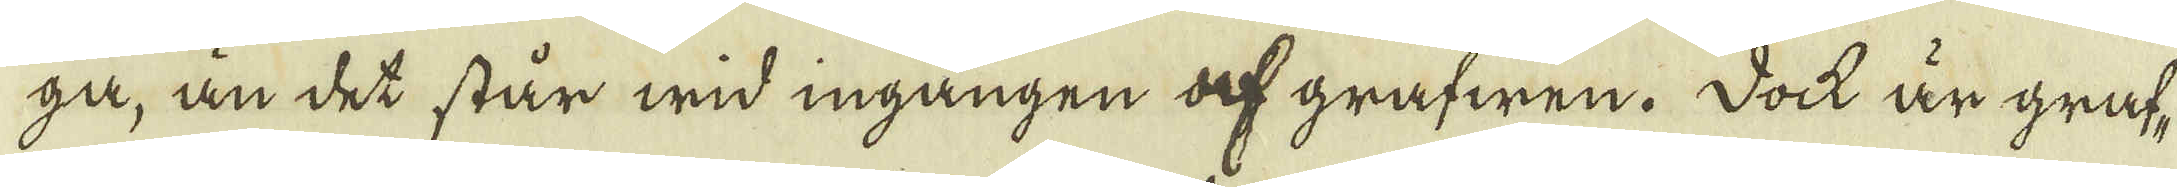ga, än det står wid ingången af grafwen. Dock är graf-
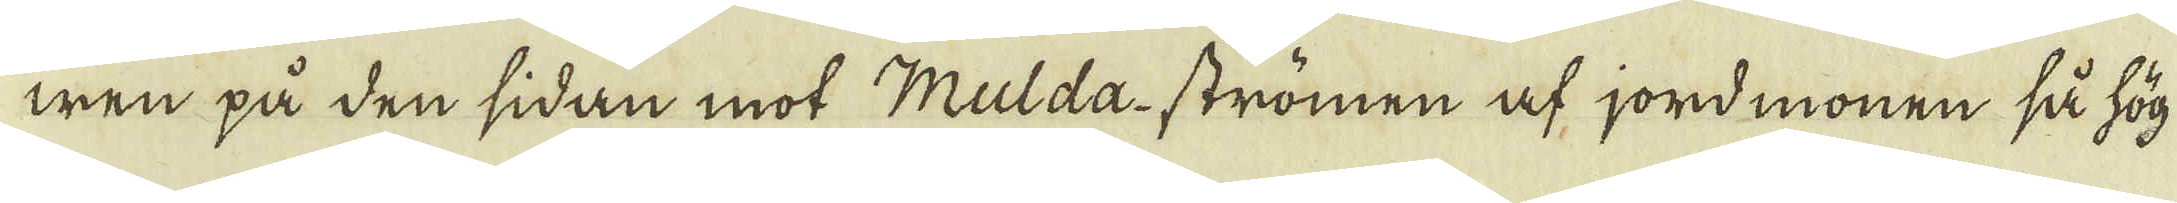wen på den sidan mot Mulda-strömen af jordmonen så hög
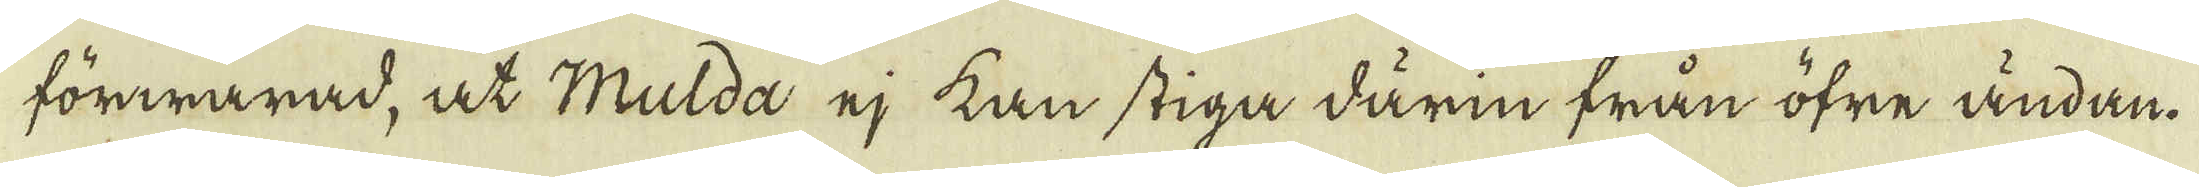förwarad, at Mulda ej kan stiga därin från öfre ändan.
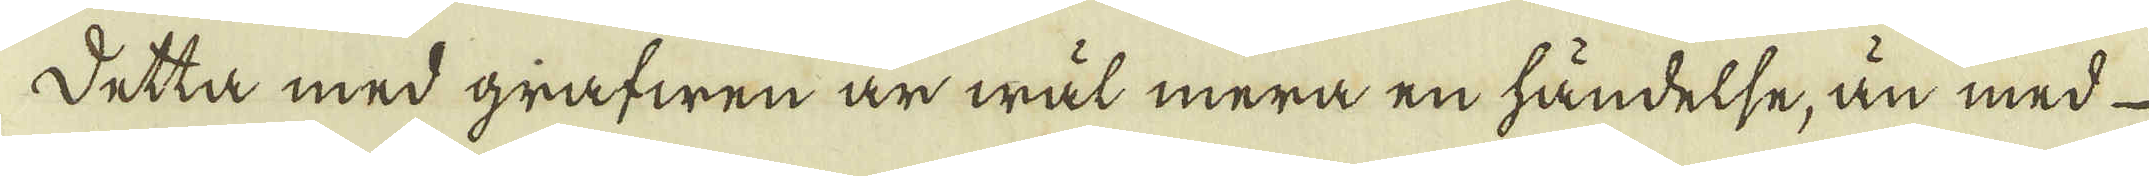Detta med grafwen är wäl mera en händelse, än med
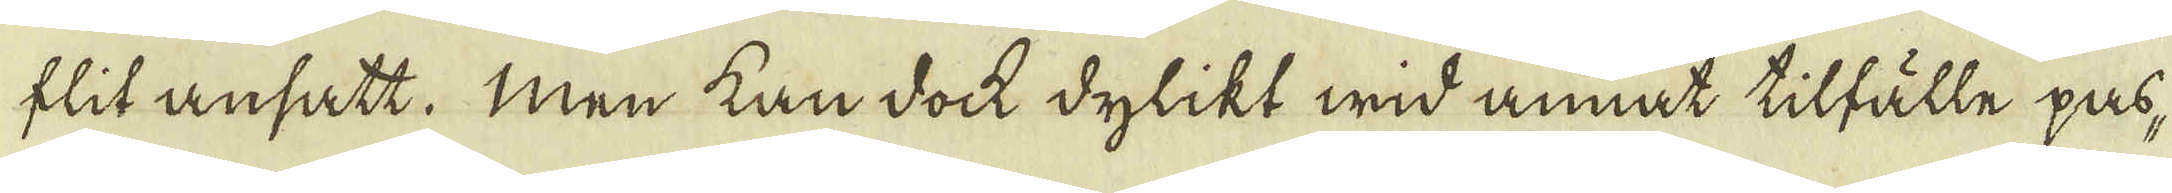flit ansatt. Men kan dock dylikt wid annat tilfälle pas-
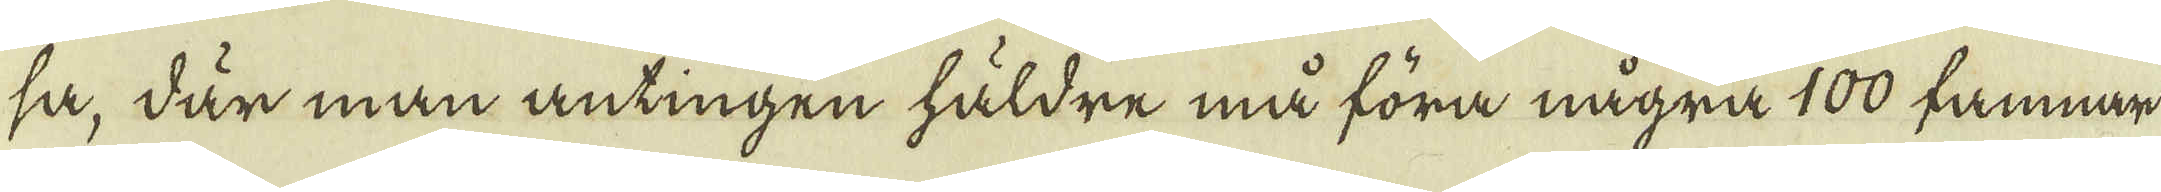så, där man antingen häldre må föra några 100 famnar
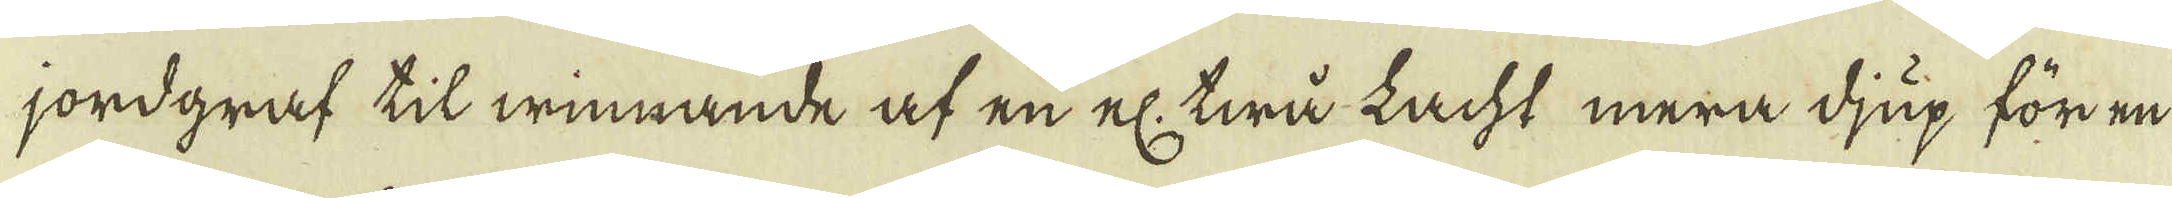jordgraf til winnande af en el twå Lacht mera djup för en
